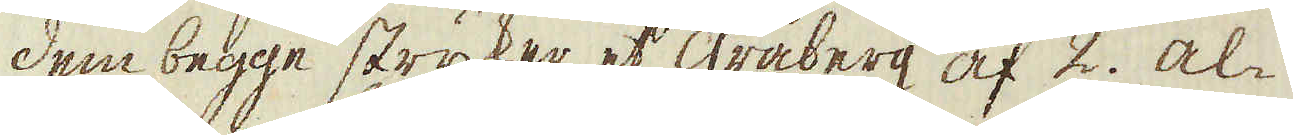dem begge stryker et gråberg af 2. al-
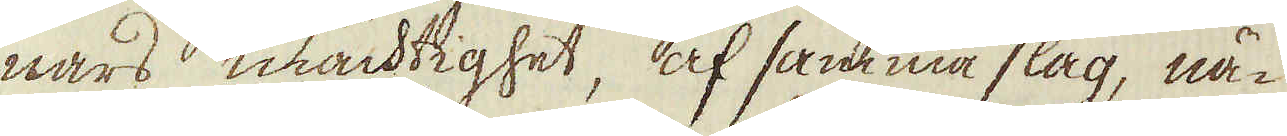nars mächtighet, af samma slag, nä-
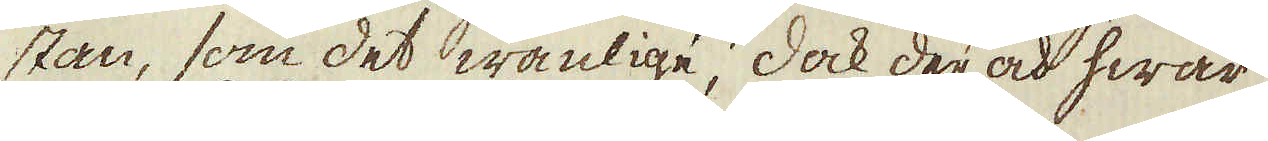stan, som det wanlige, dock der och hwar
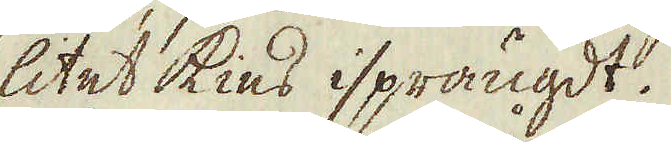litet kies isprängdt.
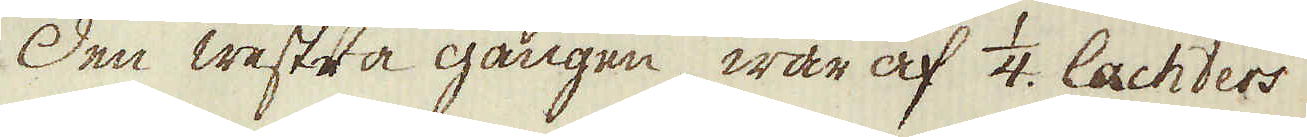Den westra gången, war af 1/4. lachters
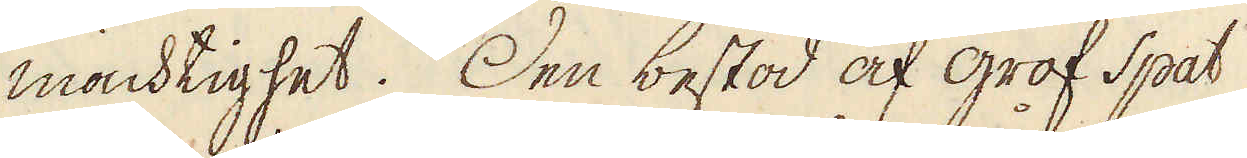mächtighet. Den bestod af grof Spat
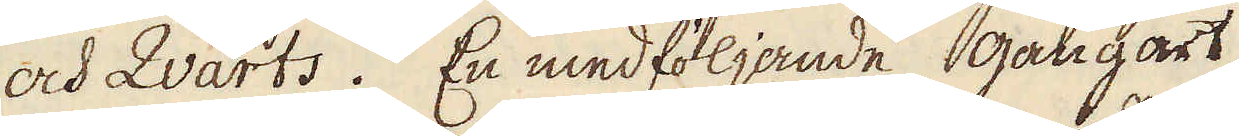och Qvarts. En medföljande gångart
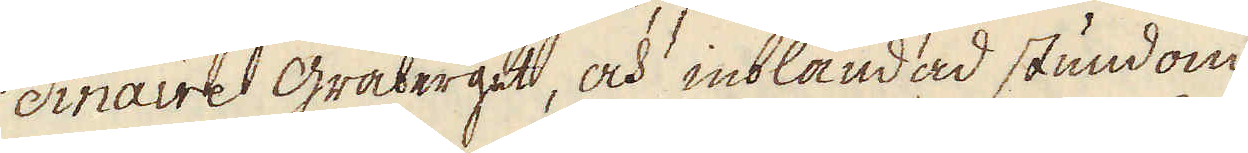dinaire gråberget, och inblandad stundom
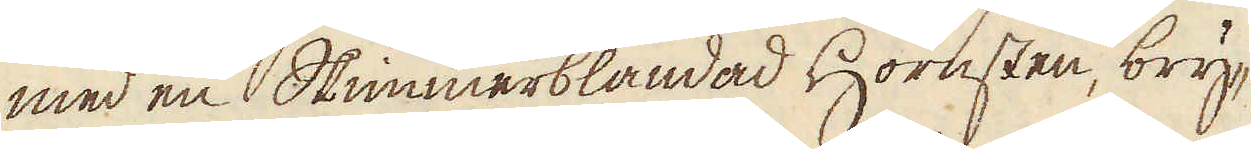med en Skimmerblandad Hornsten, bry-
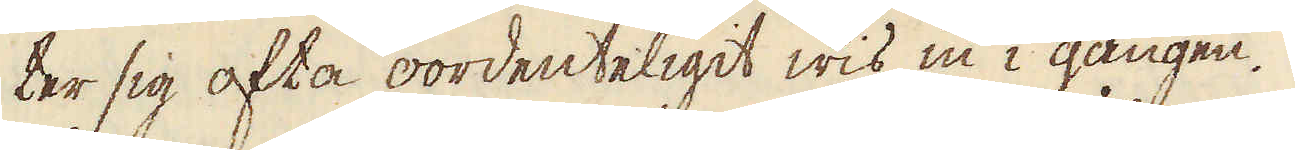ter sig ofta oordenteligit wis in i gången.
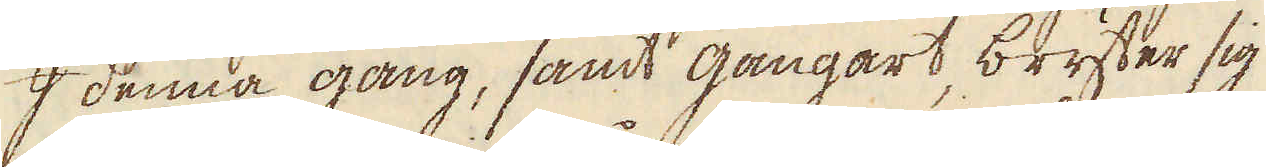I denna gång, samt gångart, bryter sig
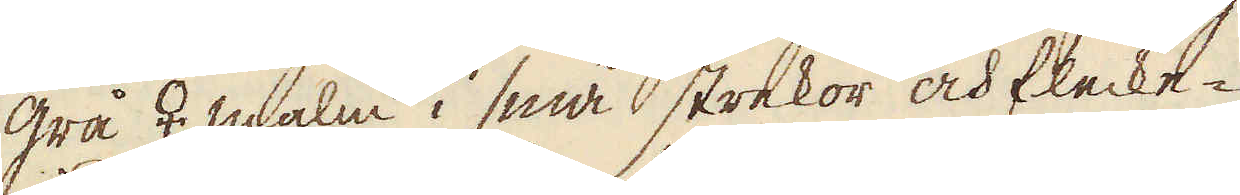grå ♀ malm i små strekor och flecke-
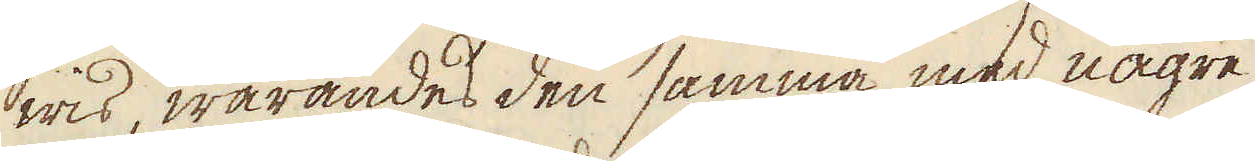wis, warandes den samma med någre
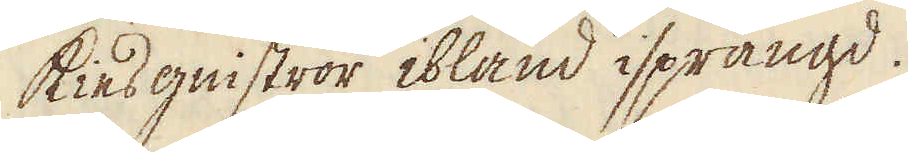kiesgnistror ibland isprängd.
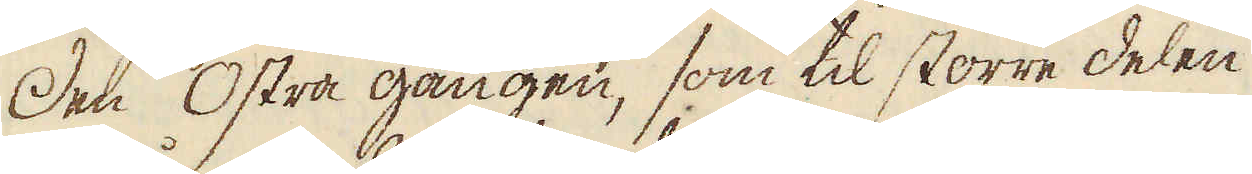Den Östra gången, som til större delen
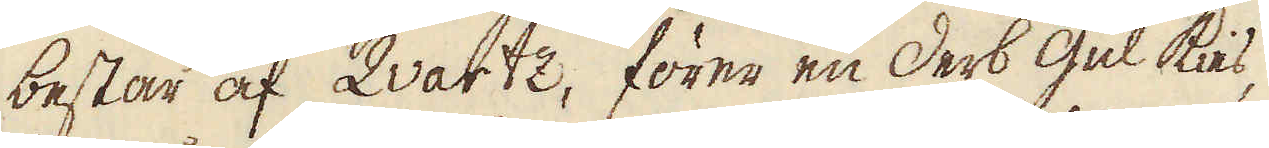består af Qvartz, förer en Derb gul kies,
